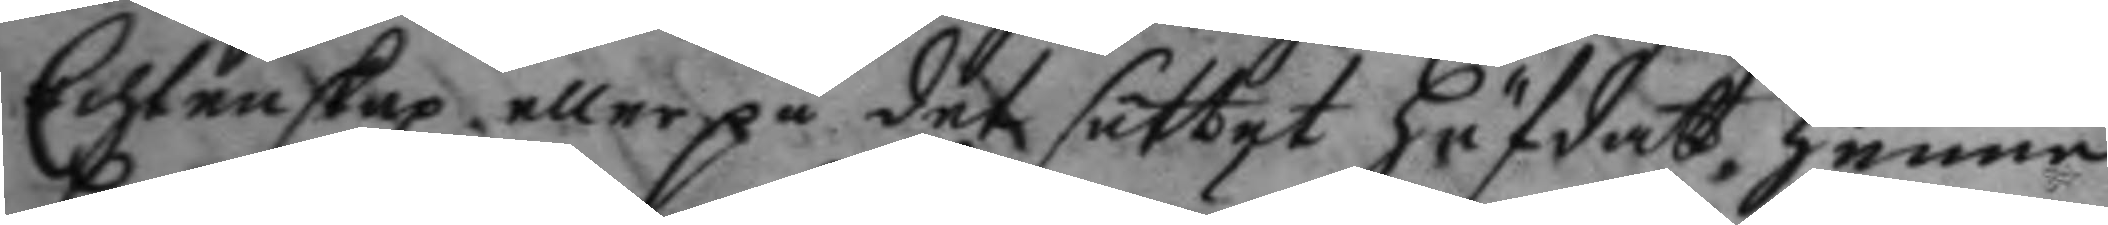Echtenskap, eller på det sättet häfdat henne
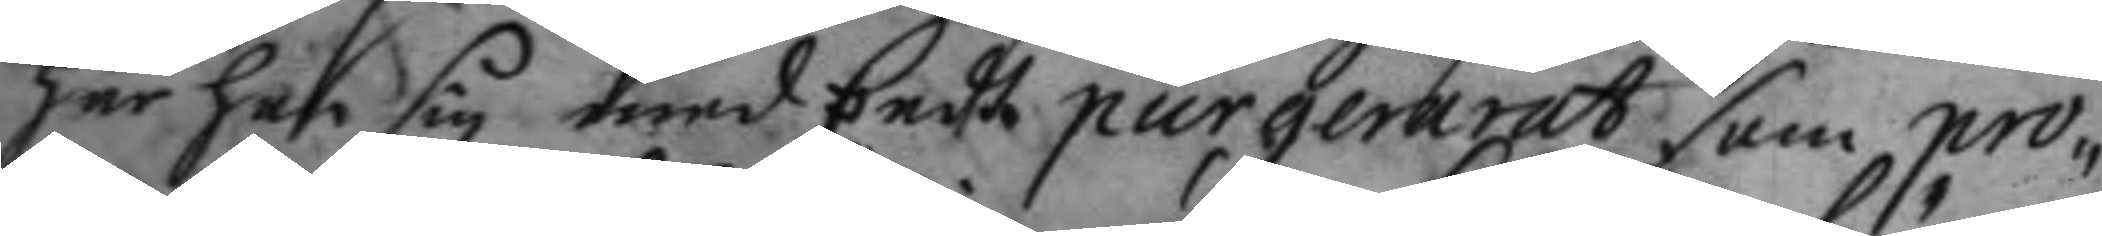har han sig med Eedh purgererat som pro¬
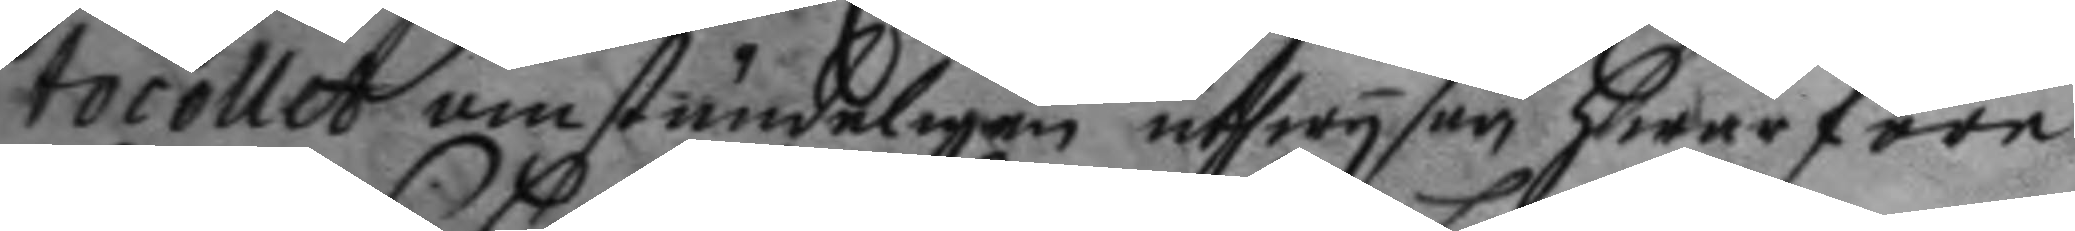tocollet omständeligen utwysar hwarföre
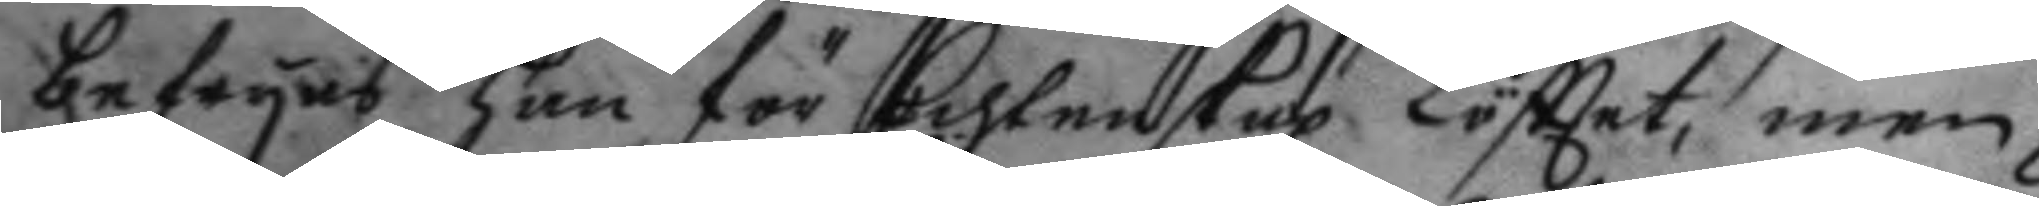befryas han för Echtenskap Löfttet, men
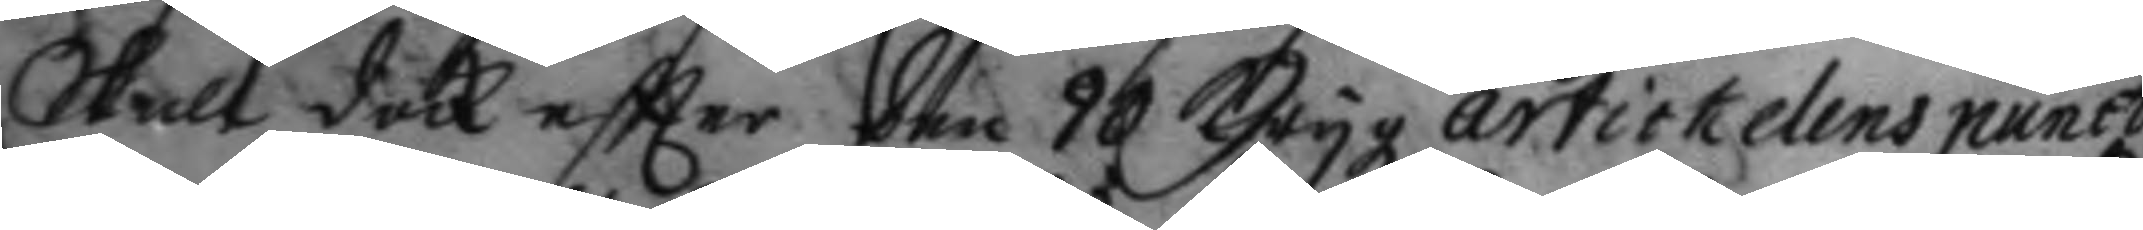Skall dock eftter den 90 Ktygz artickelens punct
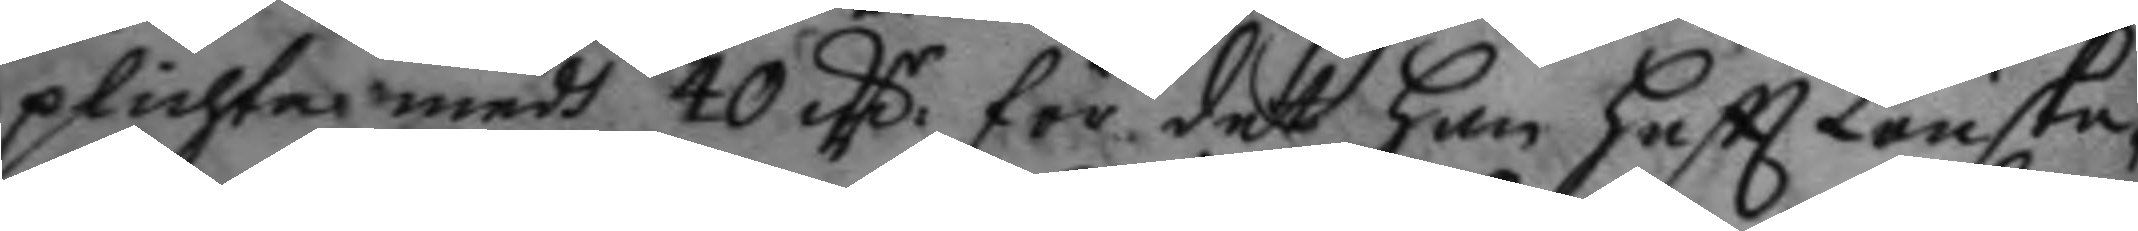plichta medh 40 mC för det han haftt Lönske¬
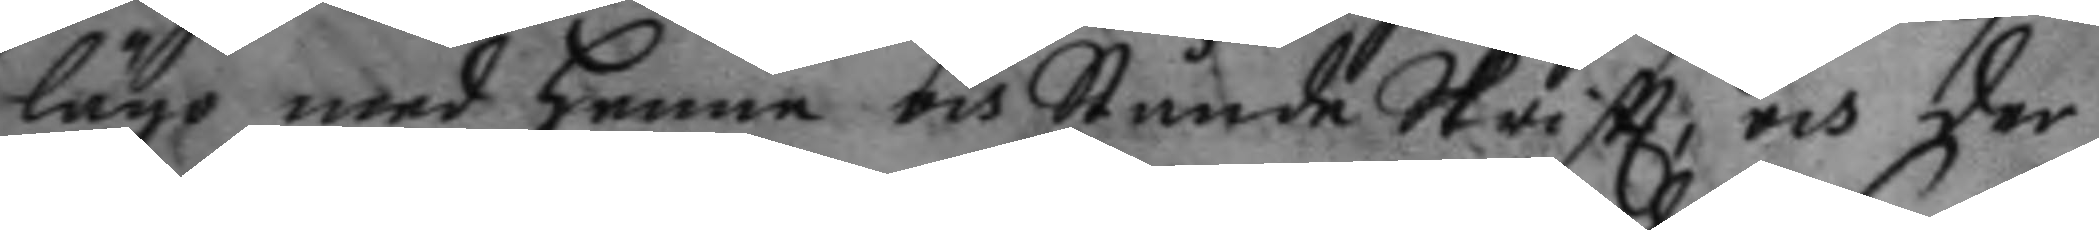läge med henne och Stånda Skriftt, och der
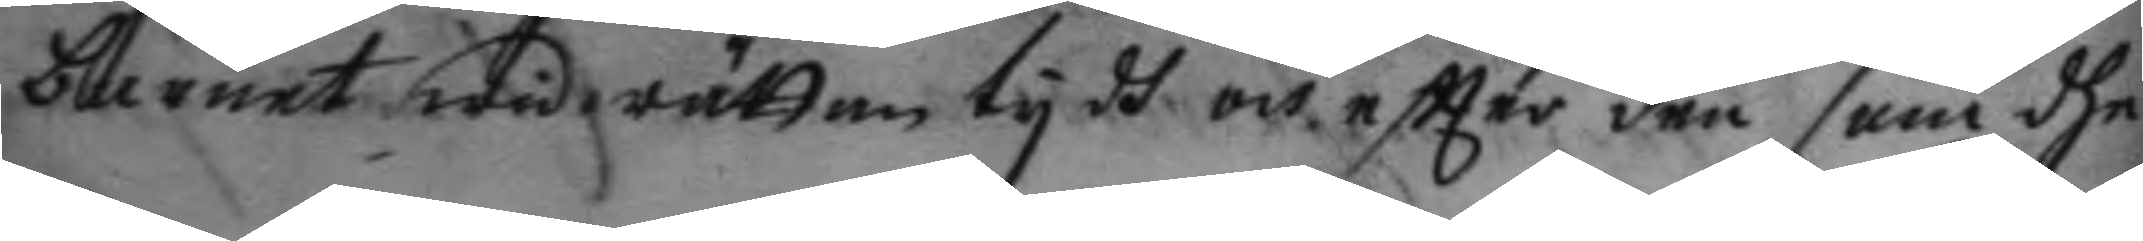barnet wid rättan tydh och eftter den som dhe
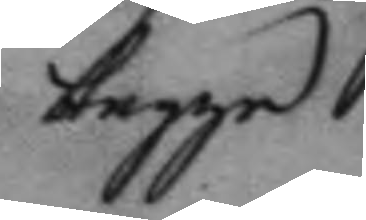begge
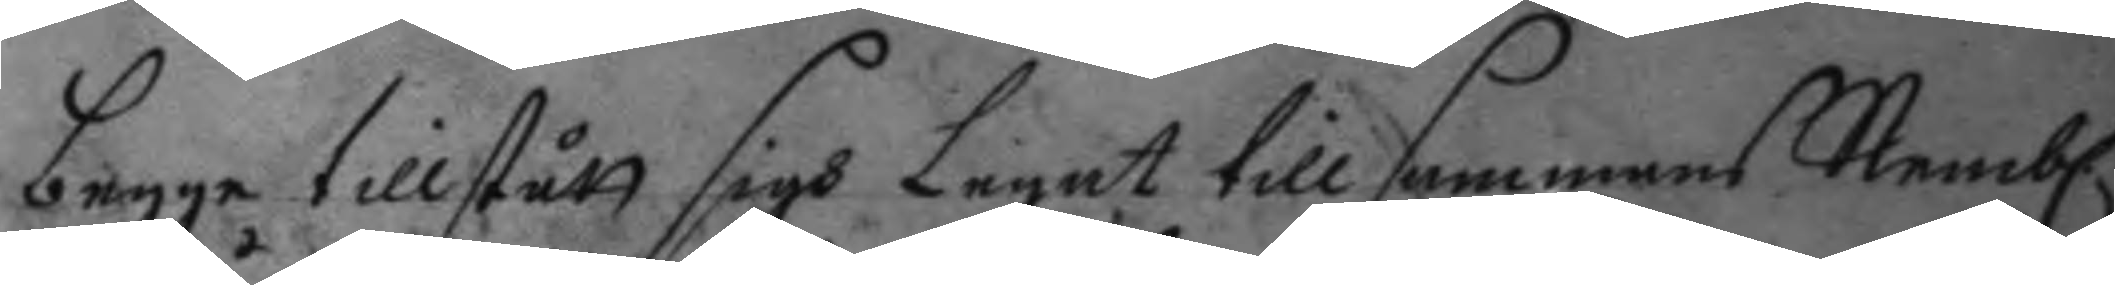begge tillstått sigh Legat tillsammans Nembl.
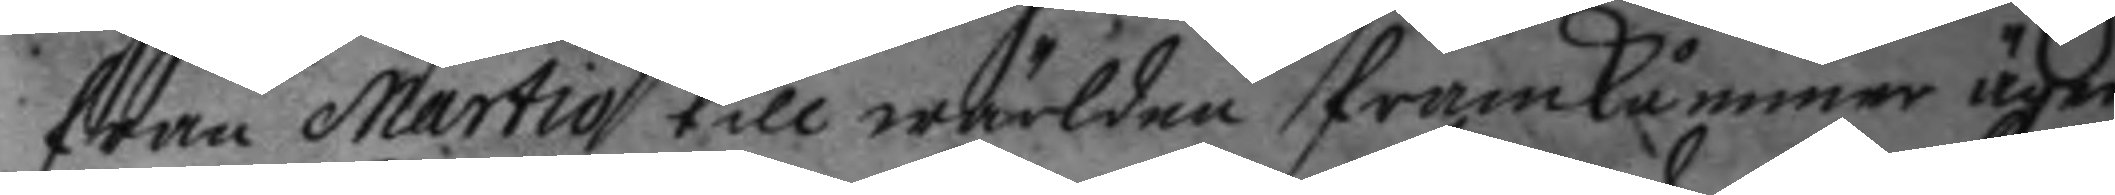från Martio till wärlden framkommer äger
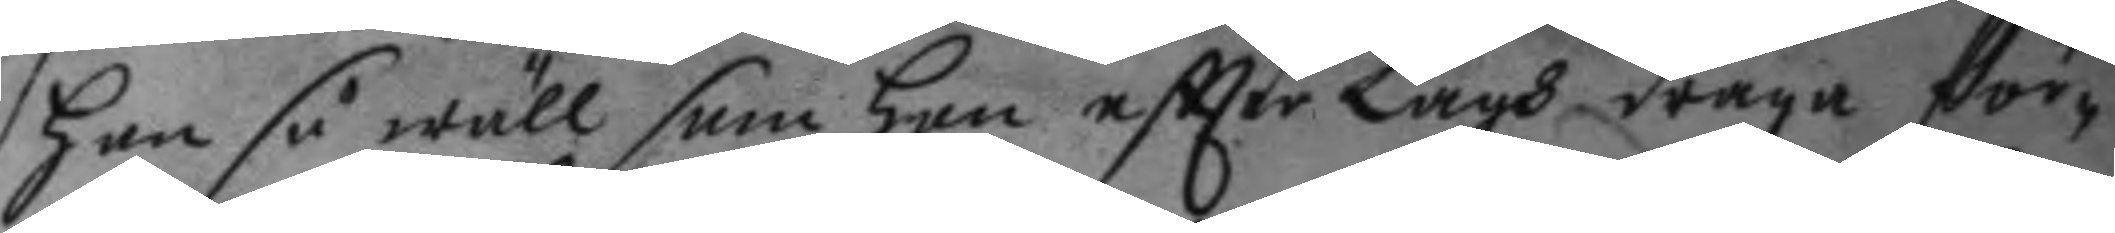han så wäl som hon eftter Lagh draga för¬
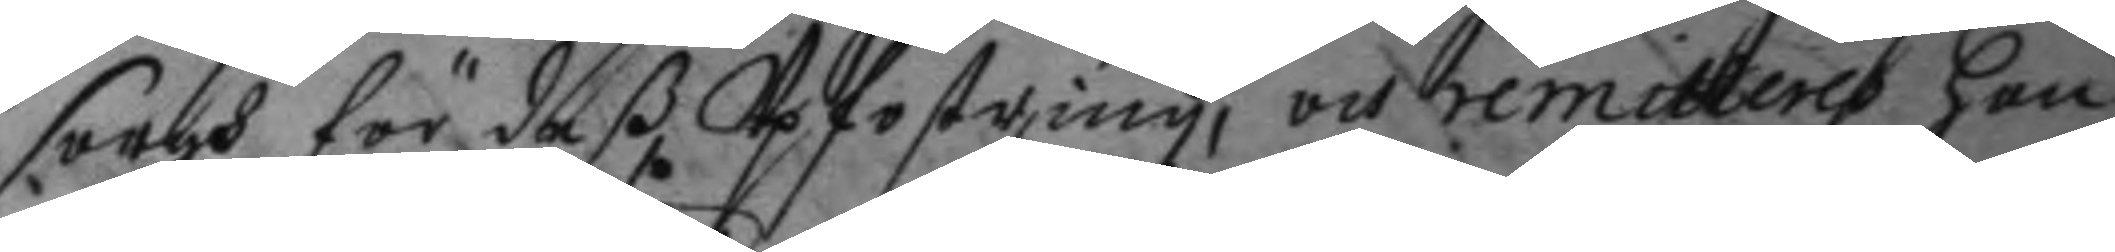sorgh för deß Upfostring, och remitteras han
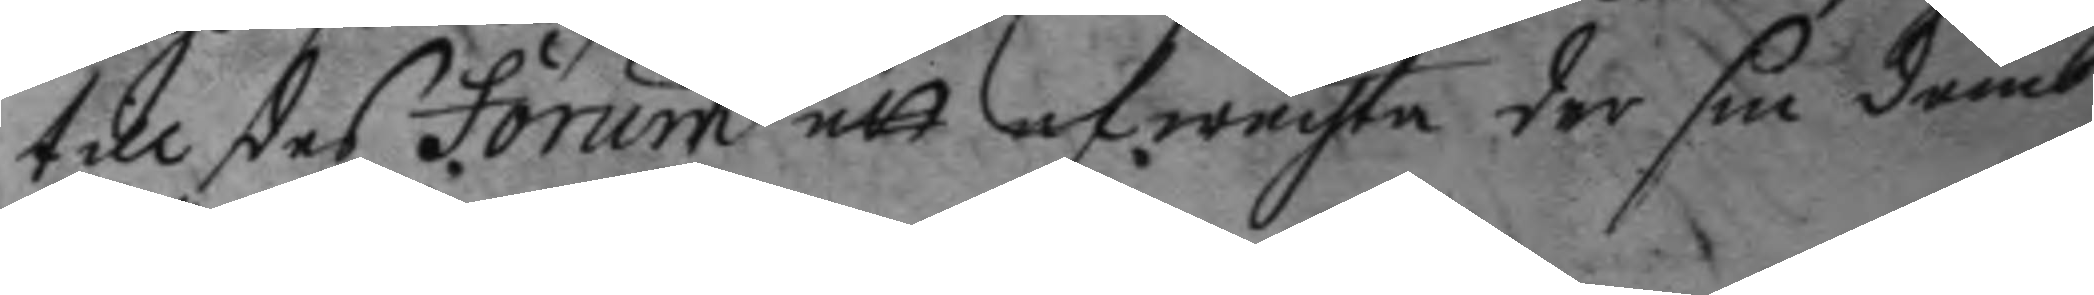till des forum att afwachta der sin domb
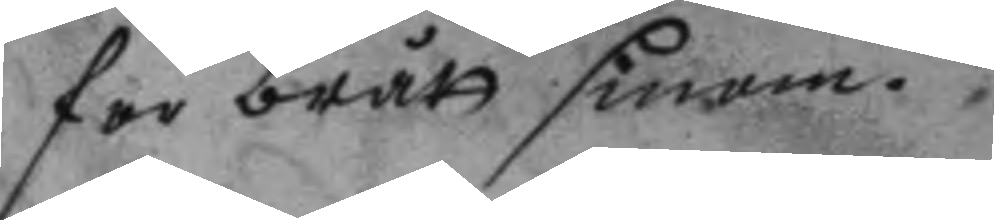för brått sinom.
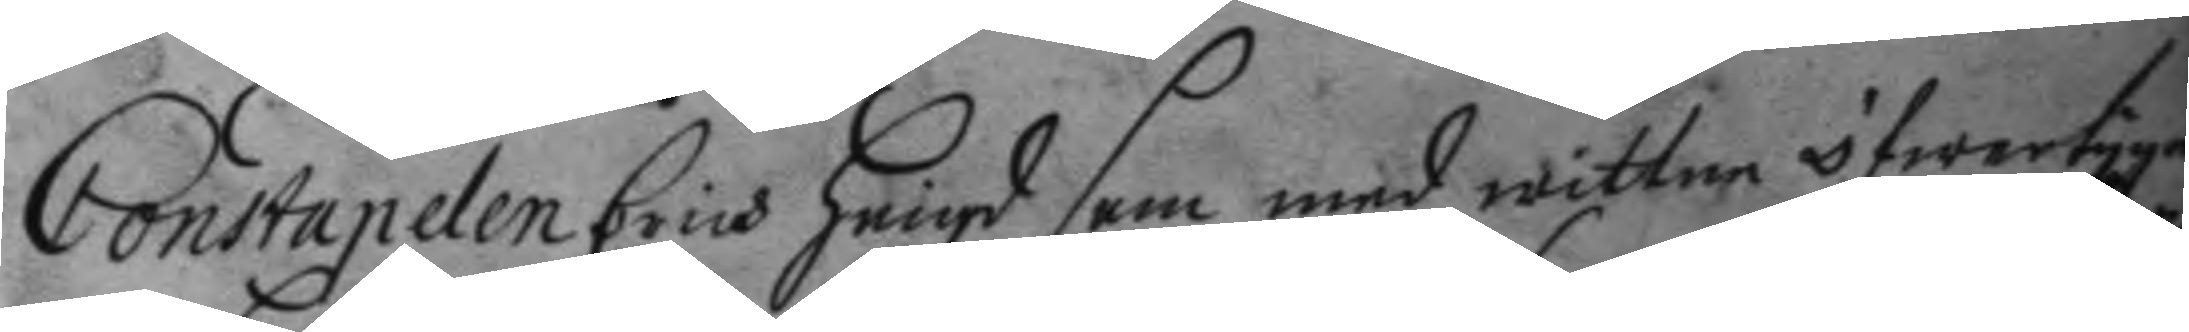Constapelen Erich heigd som med wittne öfwertygad
